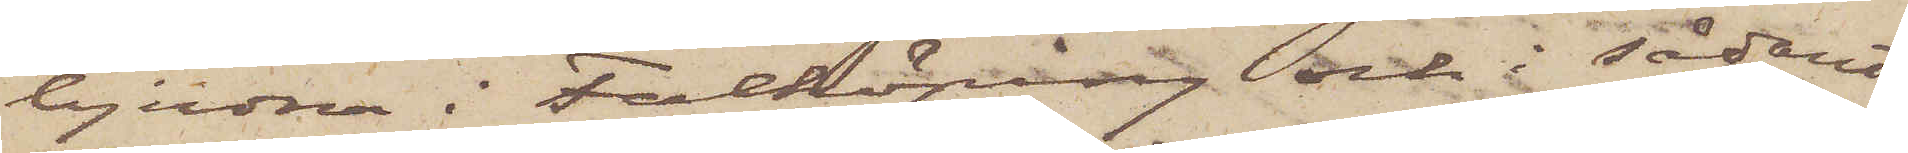bjudna i Falköping och i sådant
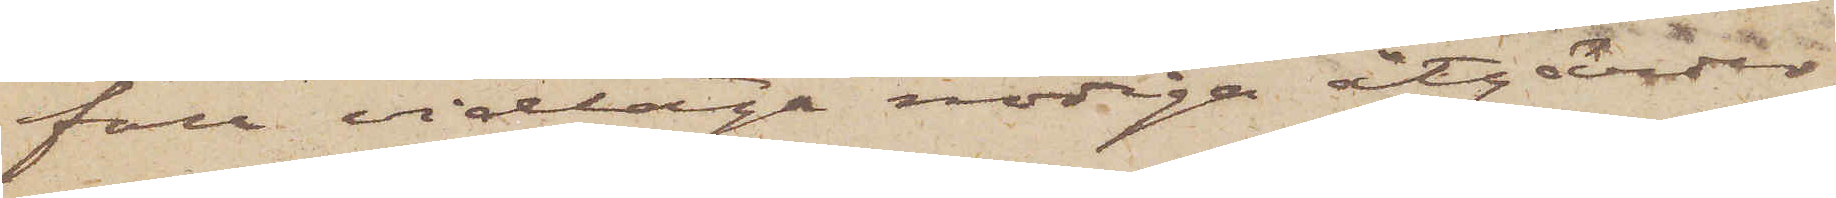fall vidtaga nödiga åtgärder.
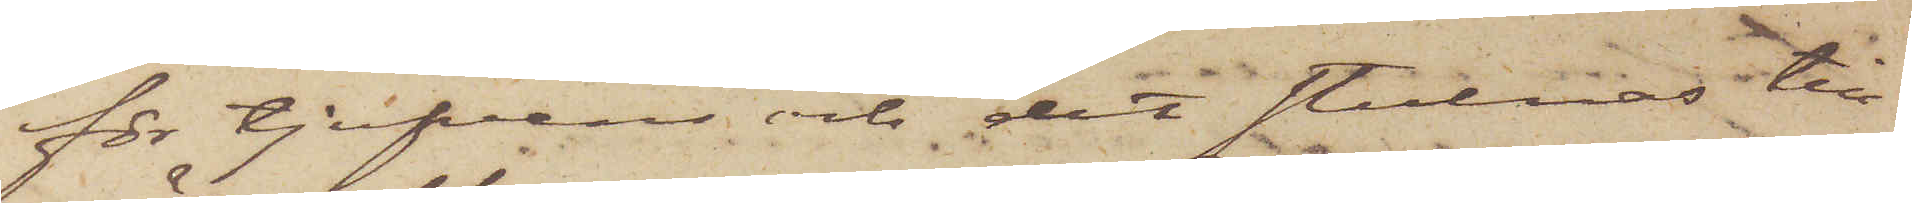för tjufvens och det stulnas till¬
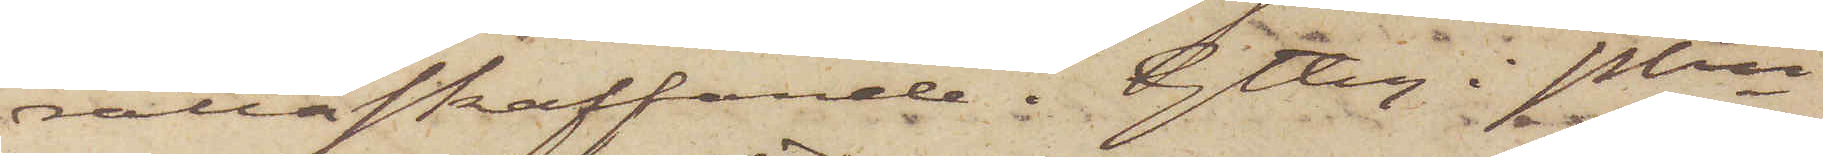rättaskaffande. Gtbg i Pkn
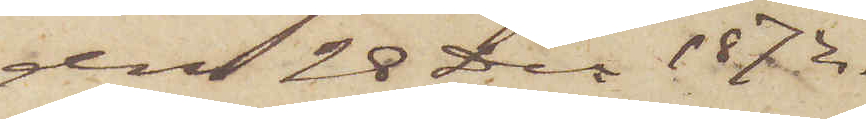den 28 Dec. 1872.
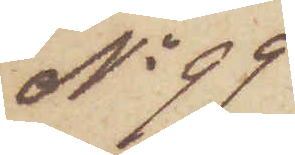No 99
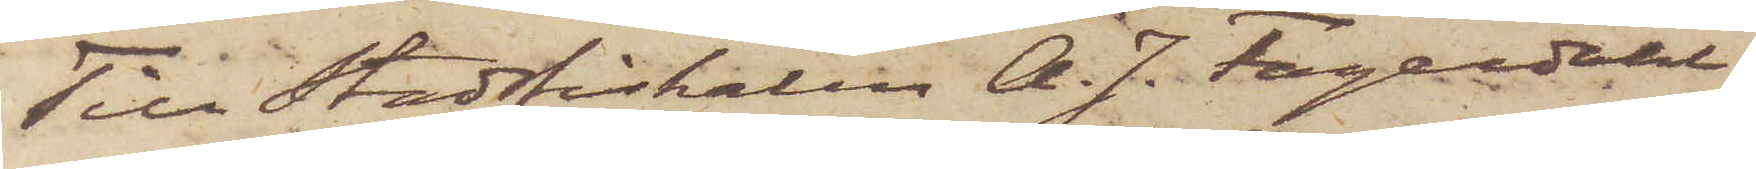Till Stadsfiskalen A. J. Fagerdahl
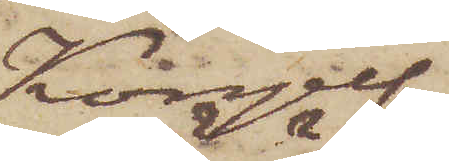Kongelf.
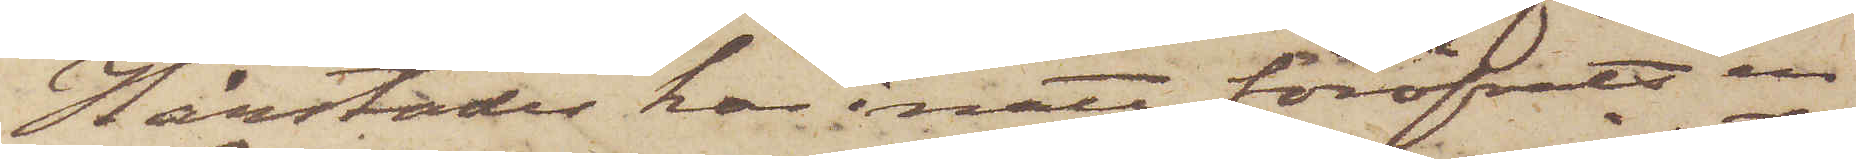Härstädes har i natt föröfvats en
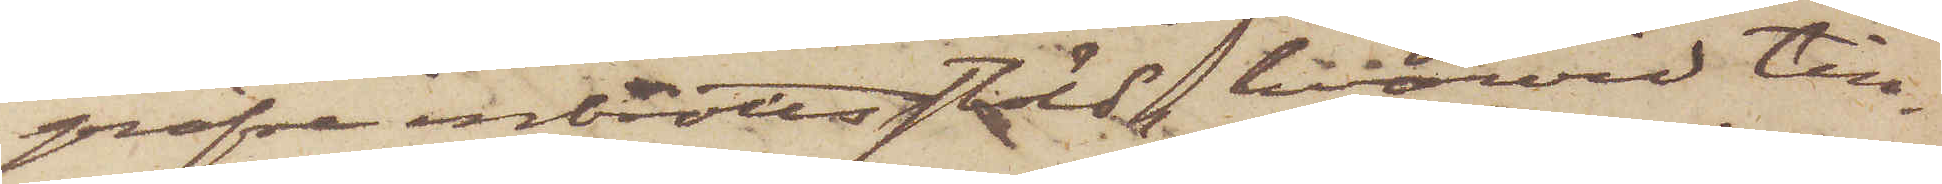gröfre inbrottsstöld, hvarvid till¬
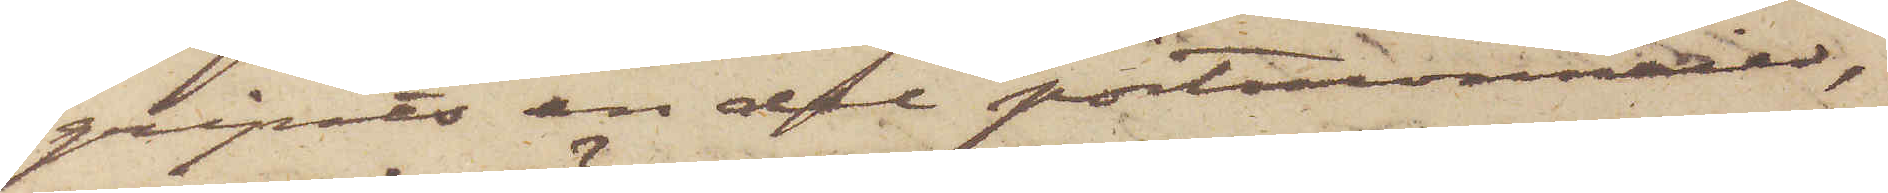gripits en del portmonnaier,
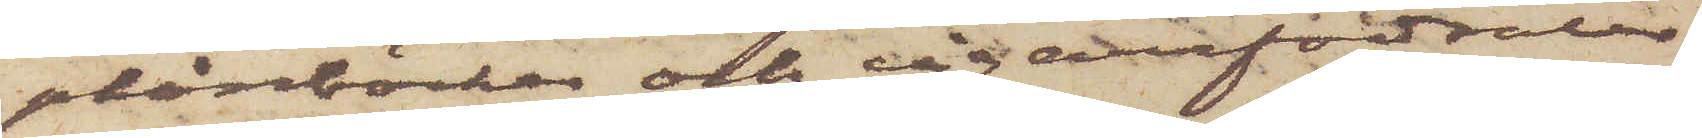plånböcker och cigarrfodraler
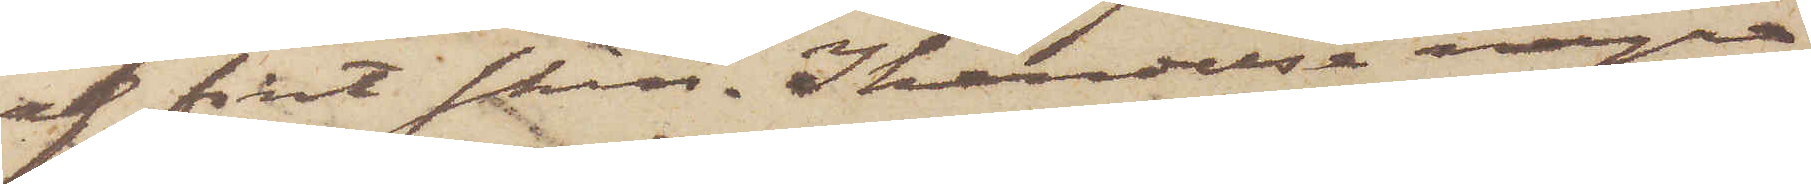af fint skinn. I händelse några
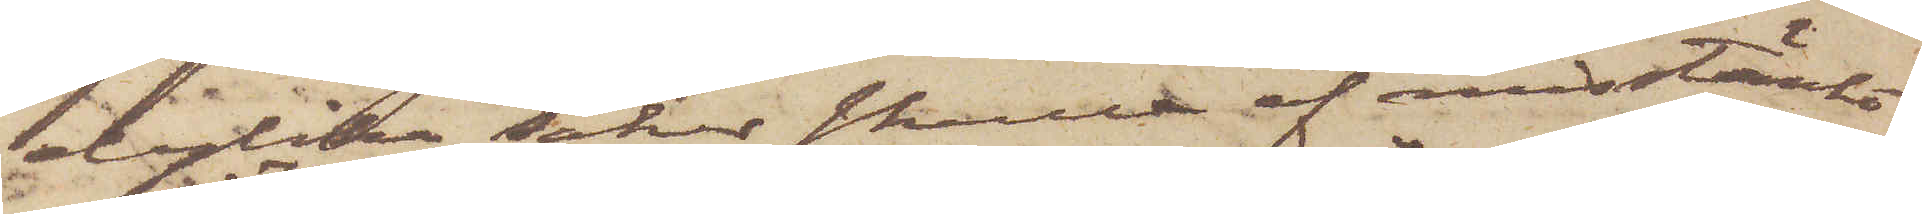dylika saker skulle af misstänkt
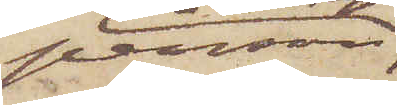person
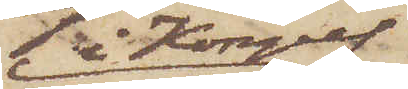i Kongelf
